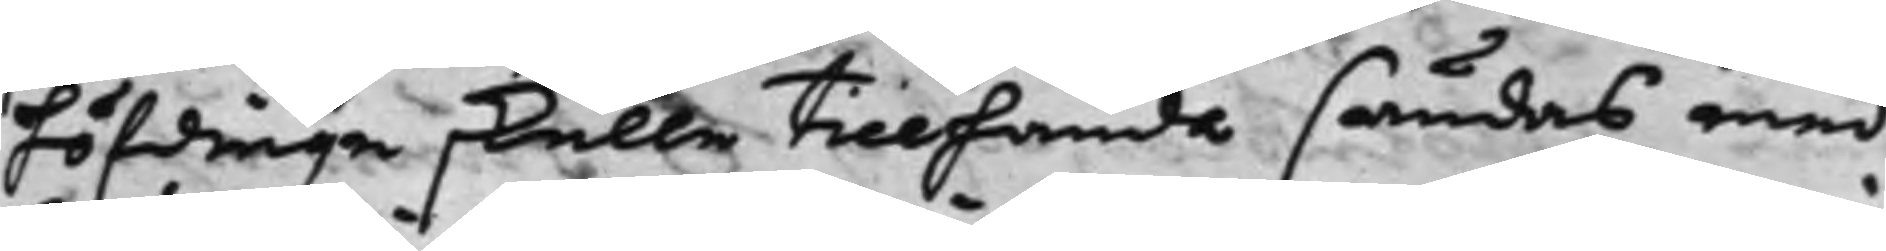höfdingen skulle tillhanda sändas med
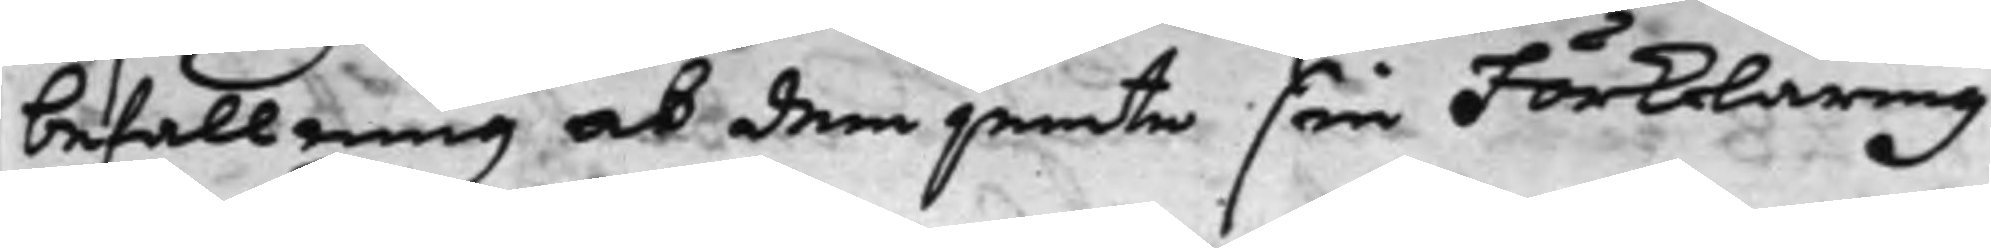befallning at dem jemte som Förklaring
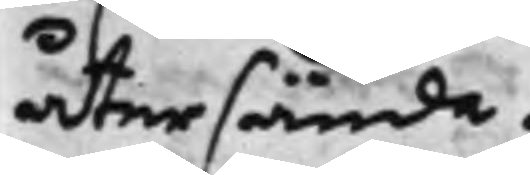återsända.
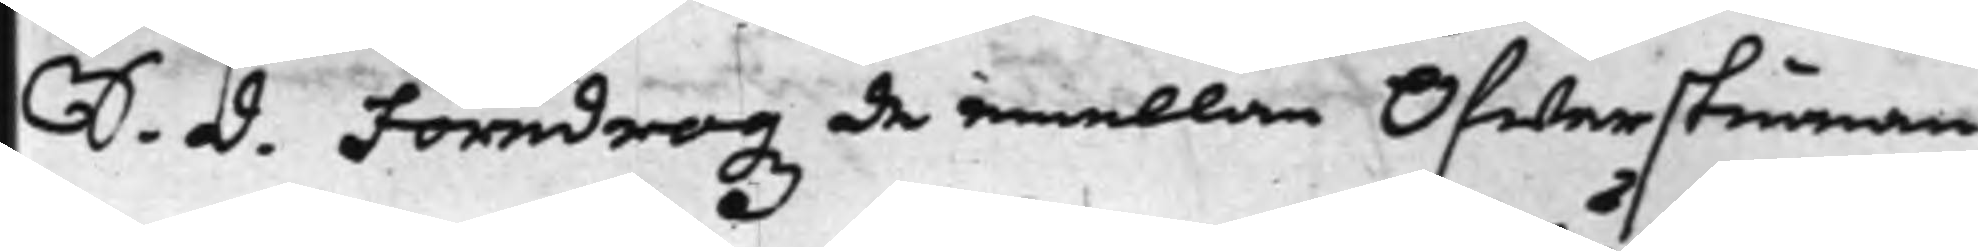S. d. Föredrogz de emellan Öfwerstinnan
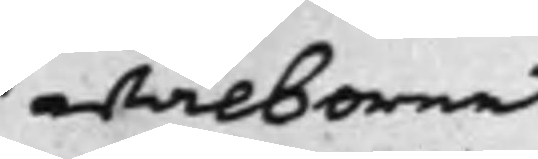wälborne
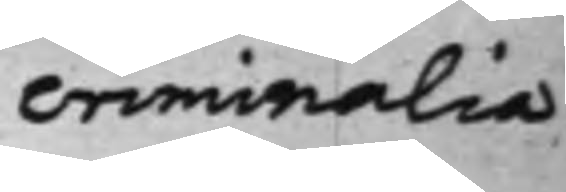Criminalia
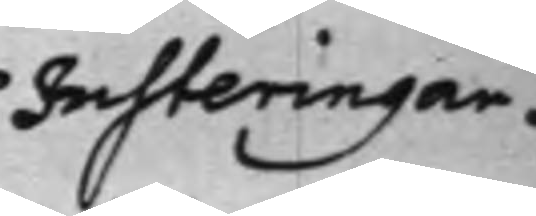Justeringar.
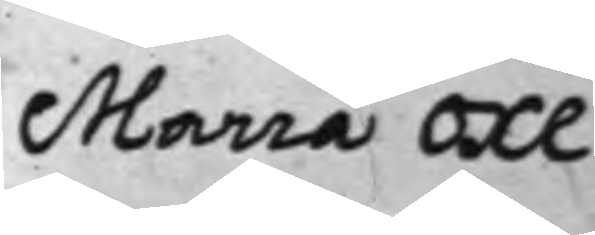Maria Oxe
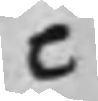C
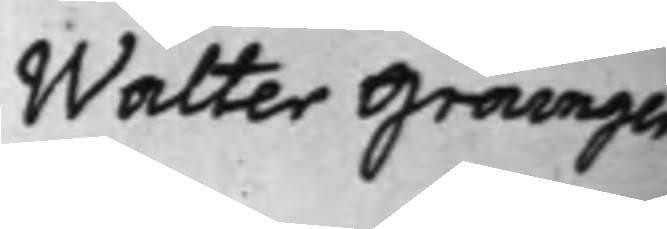wälborne Walter Grainger
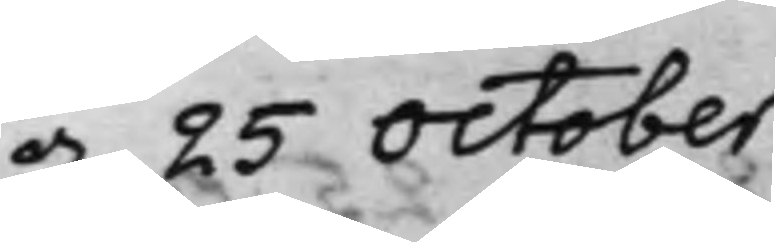d. 25 October
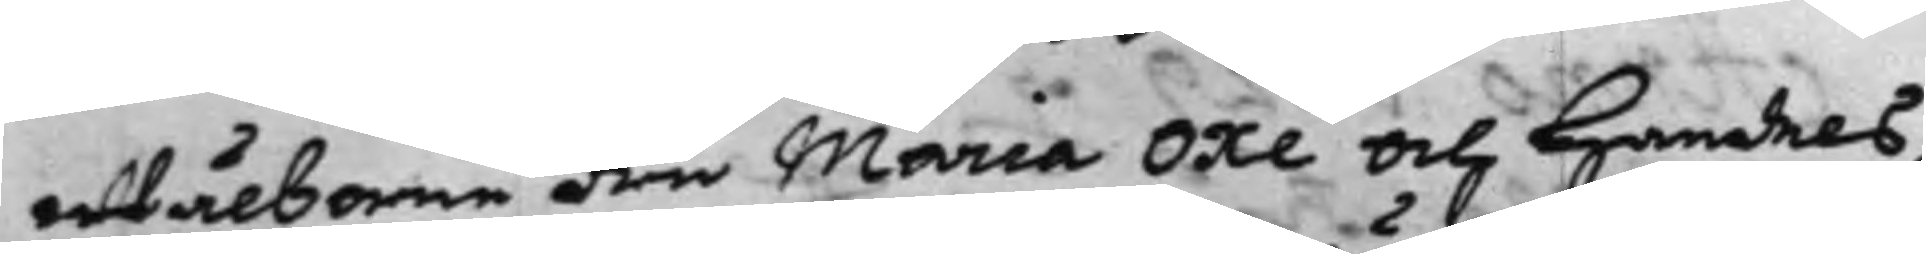Wälborne Fru Maria Oxe och Handels¬
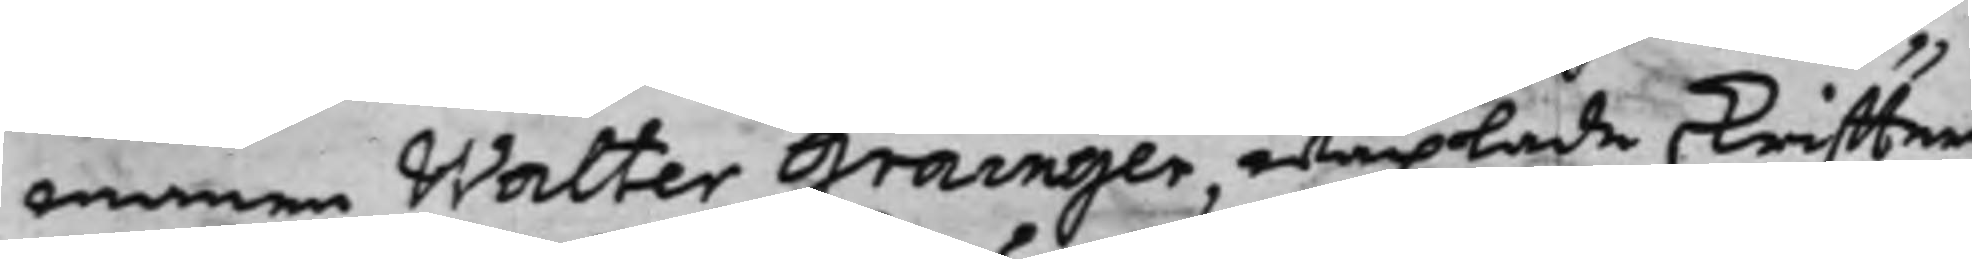mannen Walter Grainger, wäxlade skriffter,
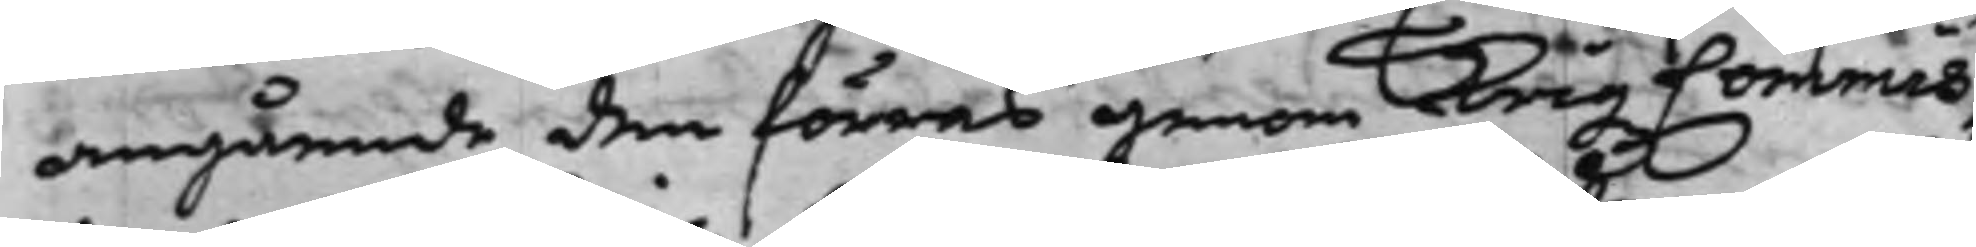angående den förras genom Krigz Commis¬
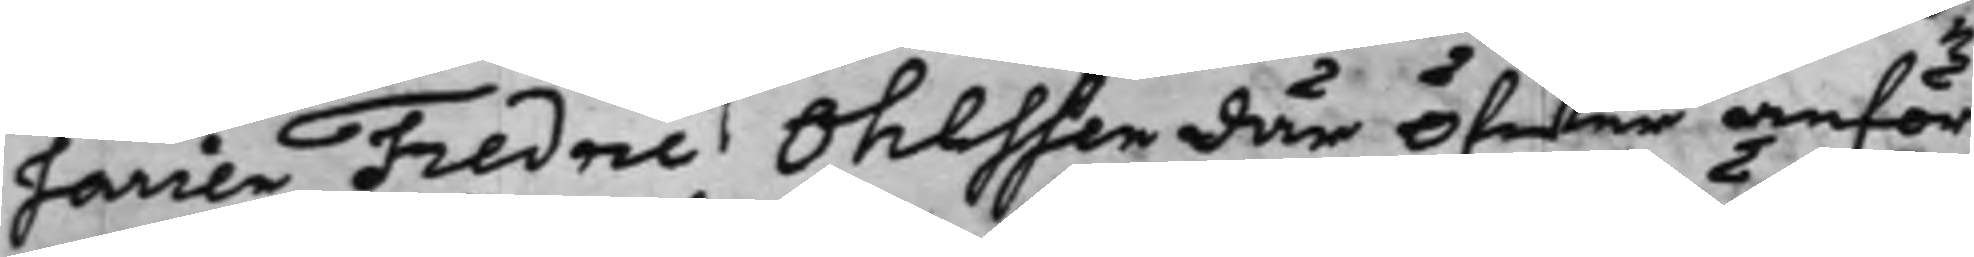sarien Fredric Ohlssen där öfwer anför¬
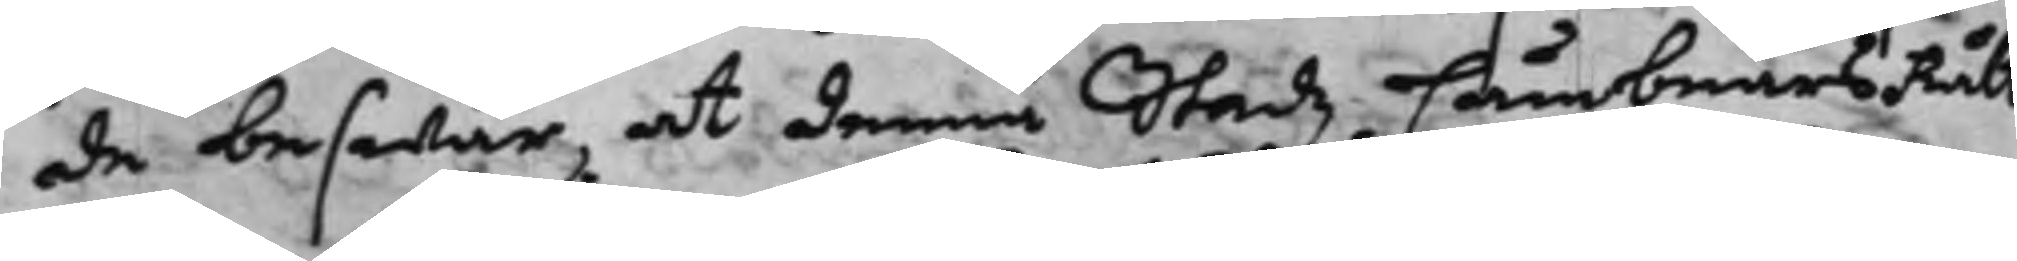de beswär, at denna Stadz CämbnärsRätt
